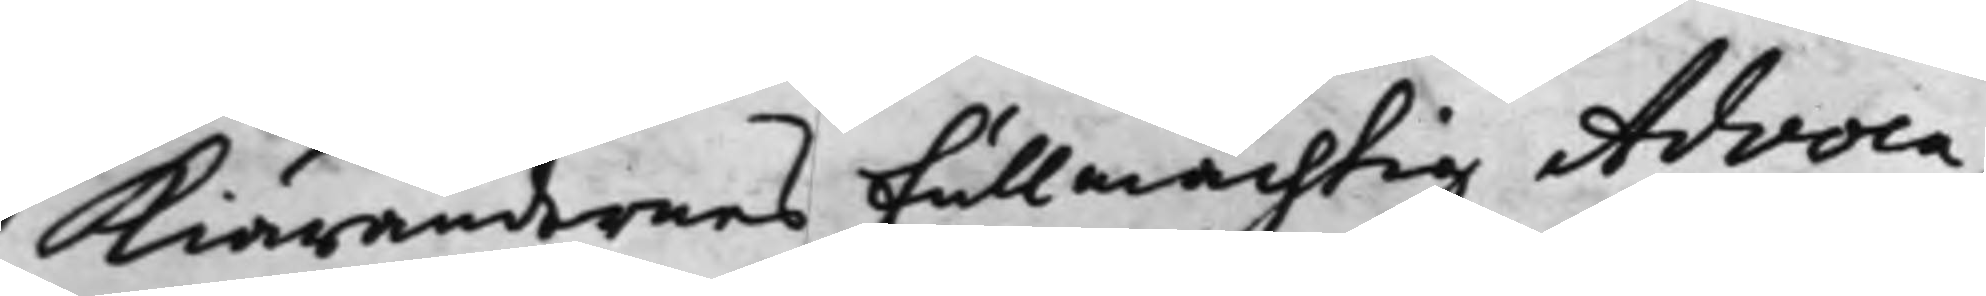Kiärandernes Fullmächtig Advoca¬
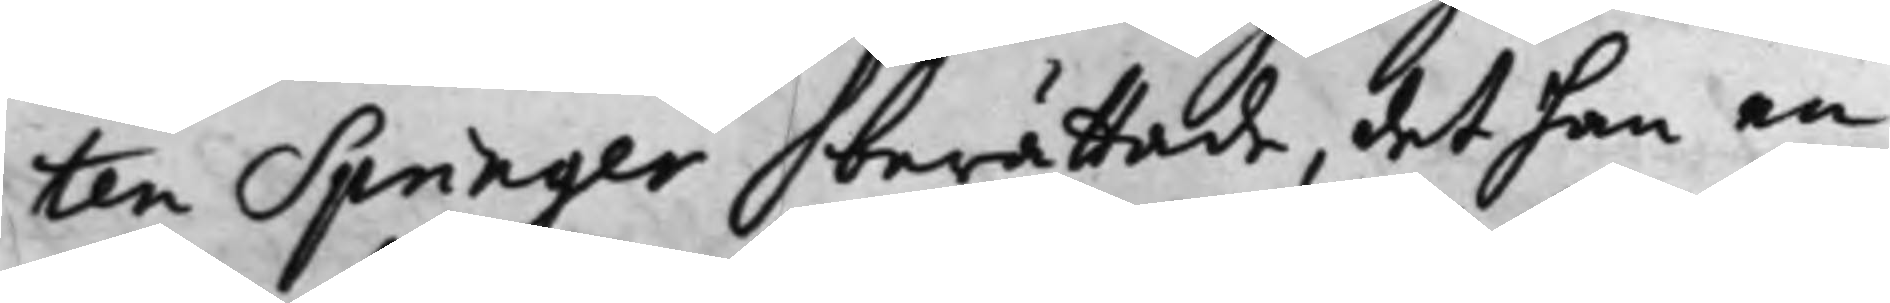ten Springer berättade, det han en
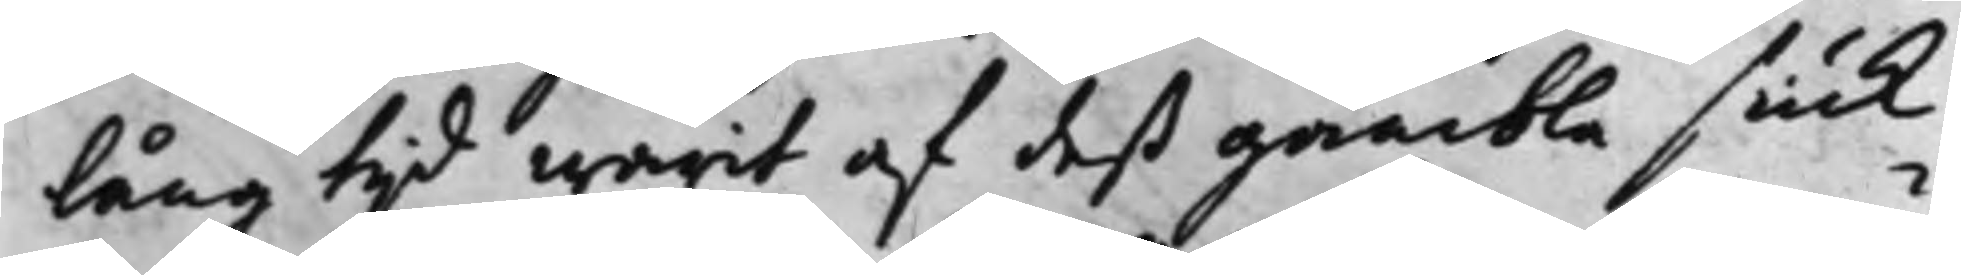lång tid warit af deß gambla siuk¬
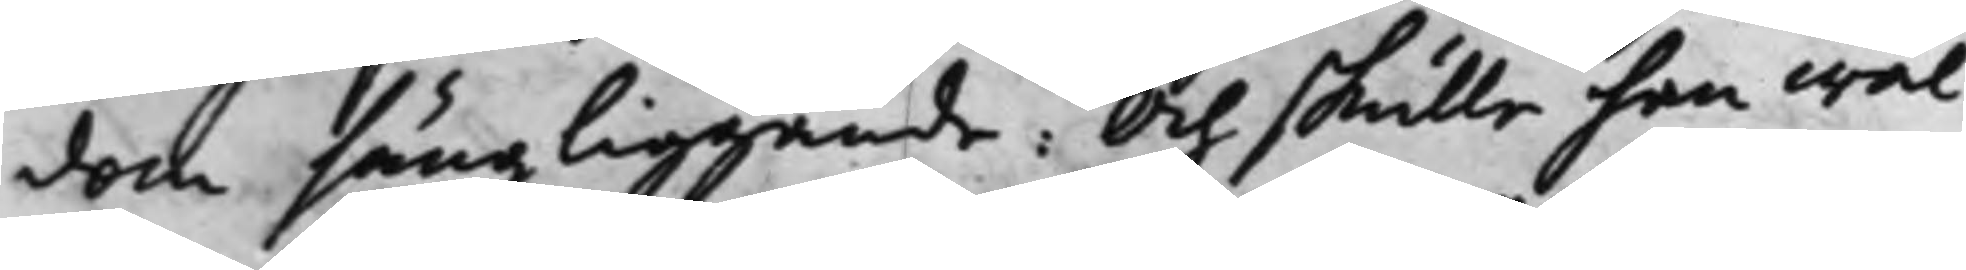dom sängliggande: Och skulle han wäl
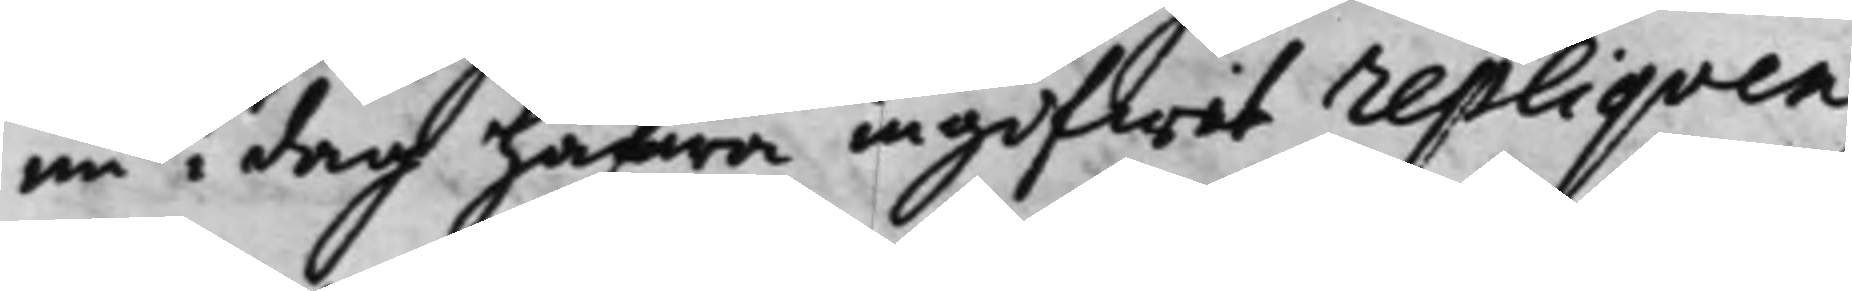nu i dag hafwa ingifwit repliqven
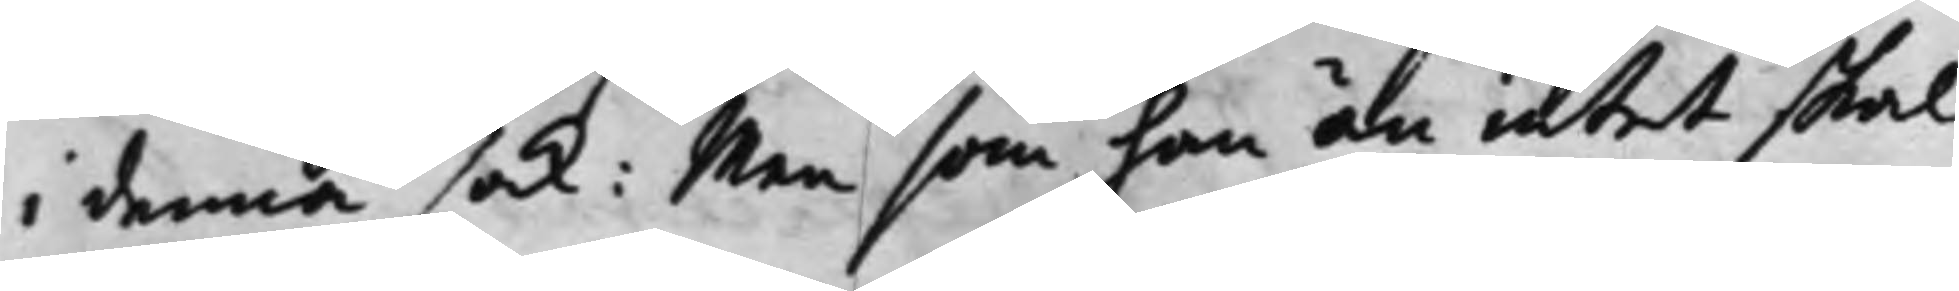i denna sak: Men som han än intet skal
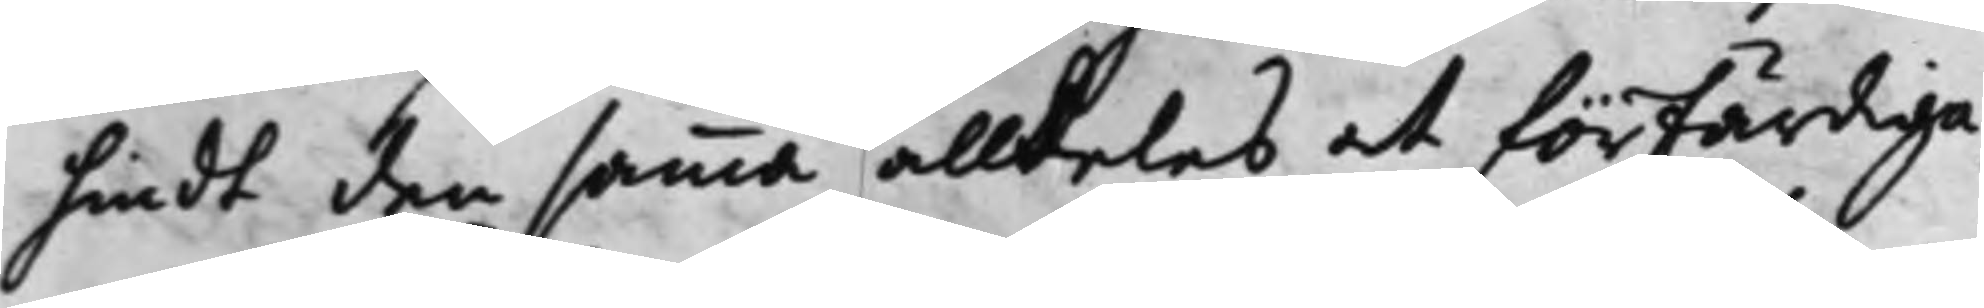hindt den samma alldeledes at förfärdiga,
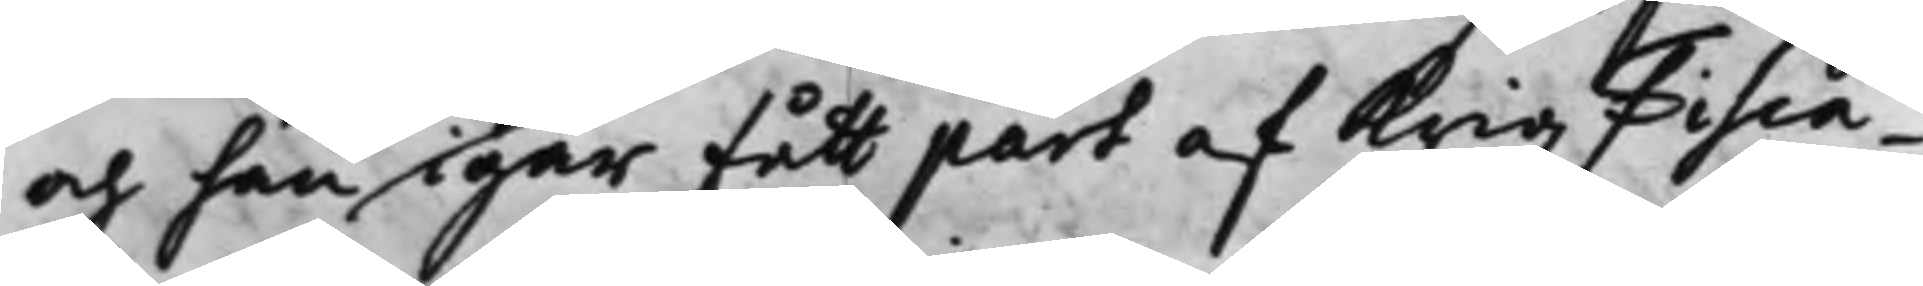och han igår fått part af Krigz Fisca¬
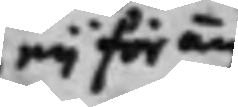eij för än
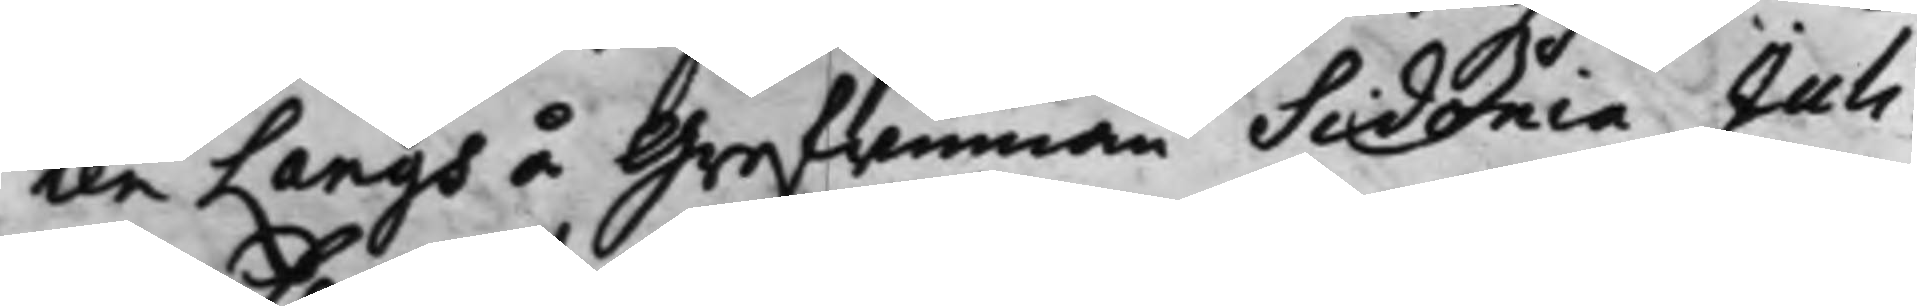len Langs å Grefwinnan Sidonia Juli¬
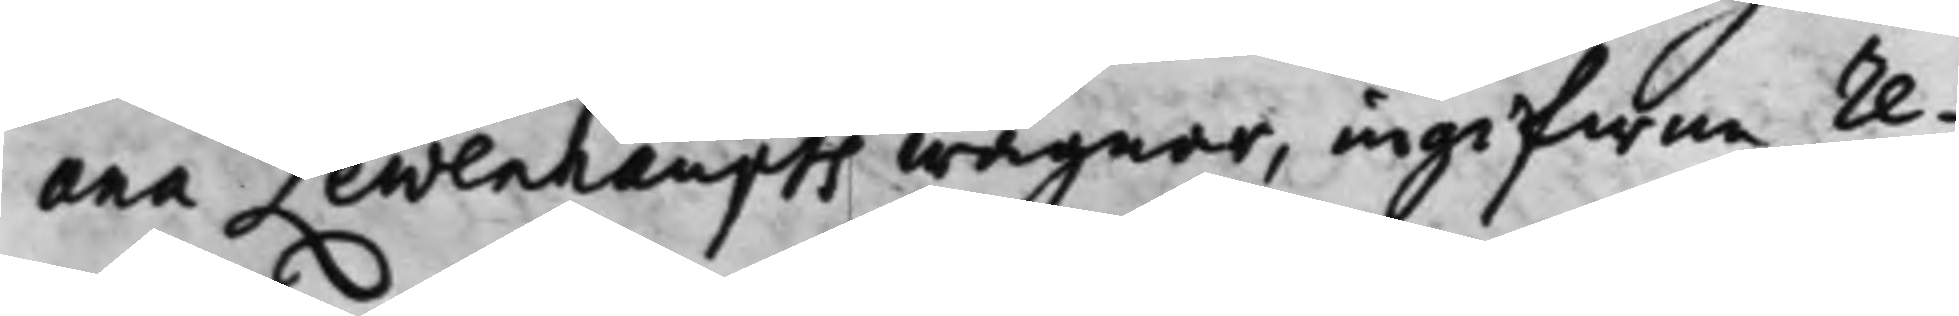ana Lewenhaupts wägnar, ingifwne re¬
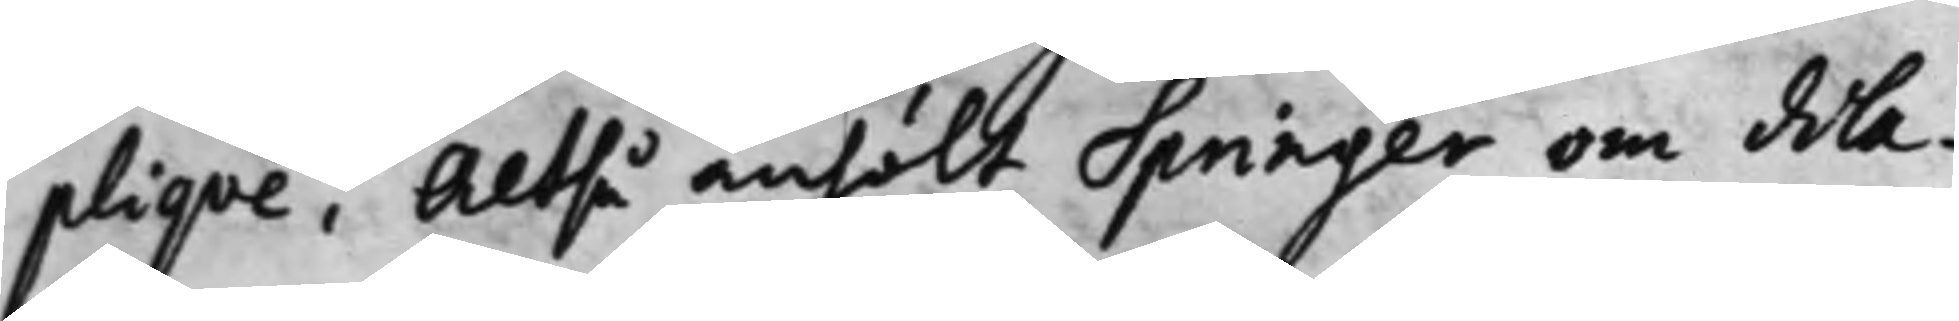pliqve, Altså anhölt Springer om dila¬
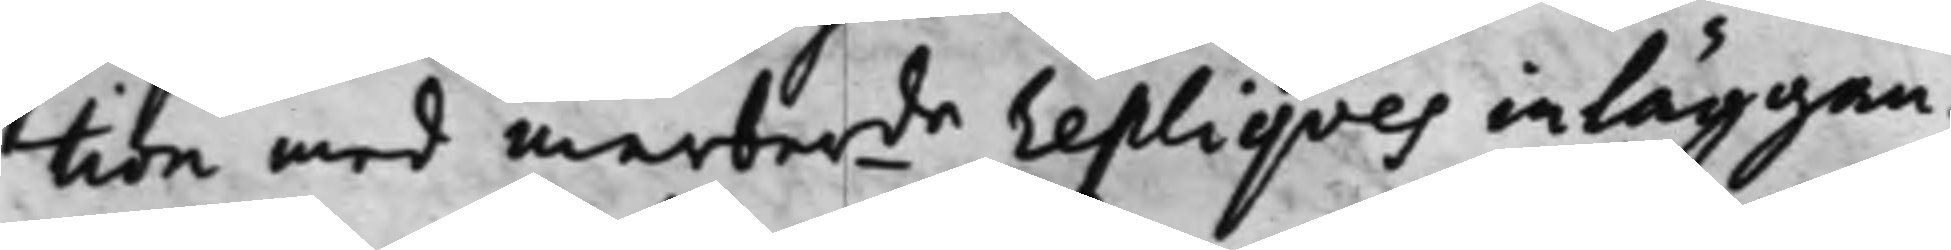tion med merber.de repliqves inläggan¬
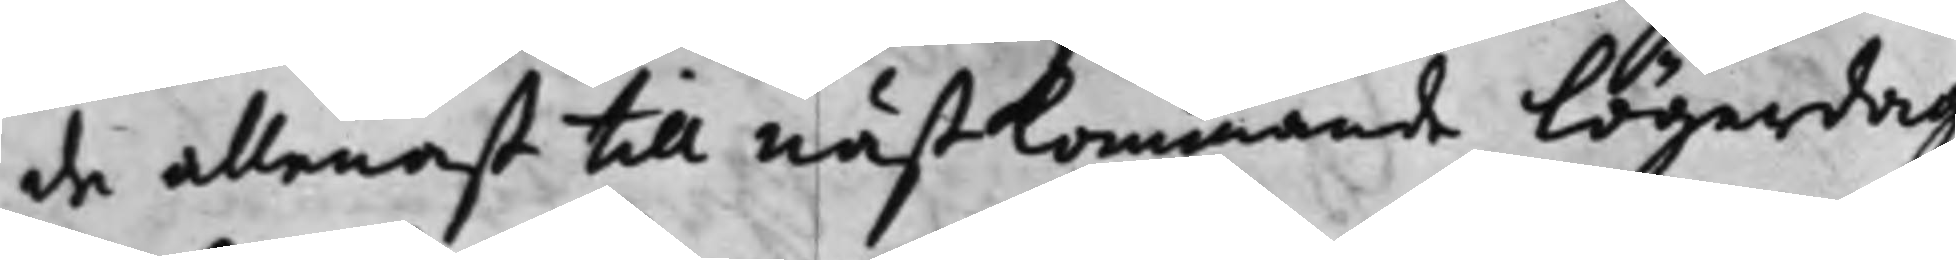de allenast till nästkommande Lögerdag
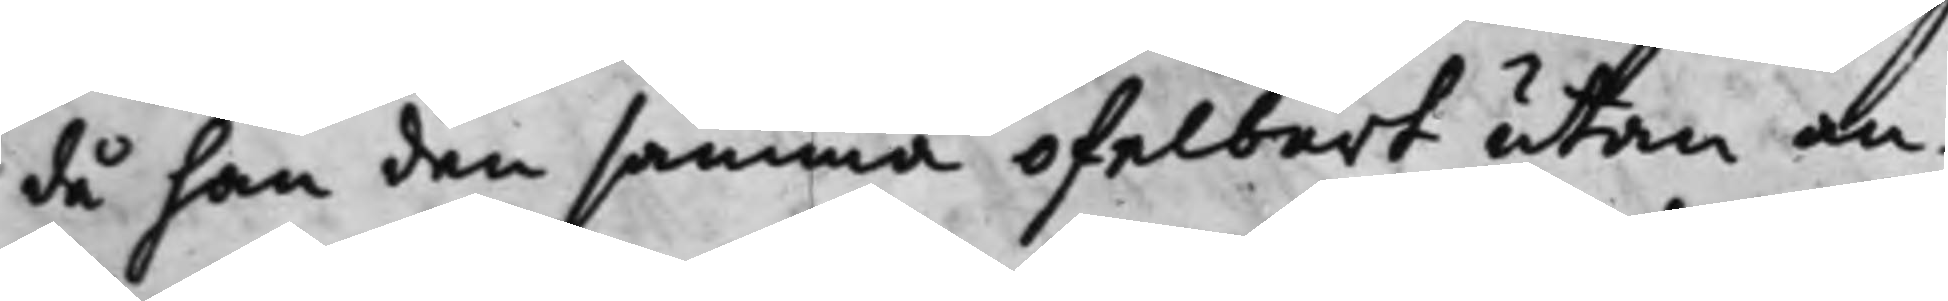då han den samma ofelbart utan an¬
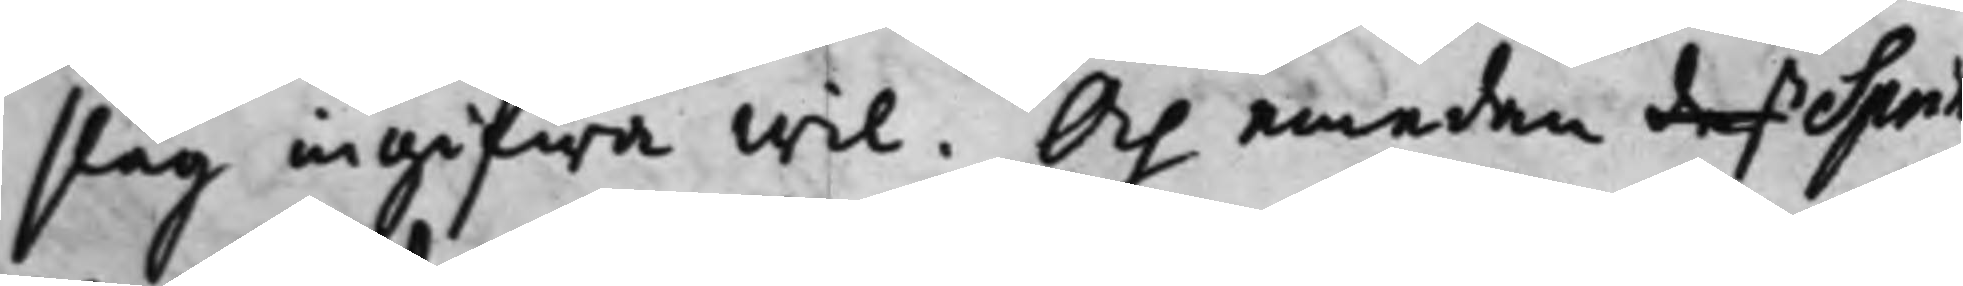slag angifwa wil. Och emedan deß Sprin¬
